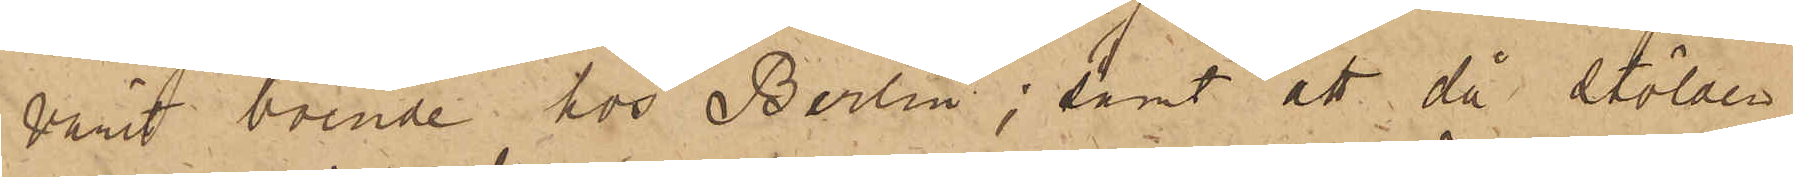varit boende hos Berlin; samt att då stölden
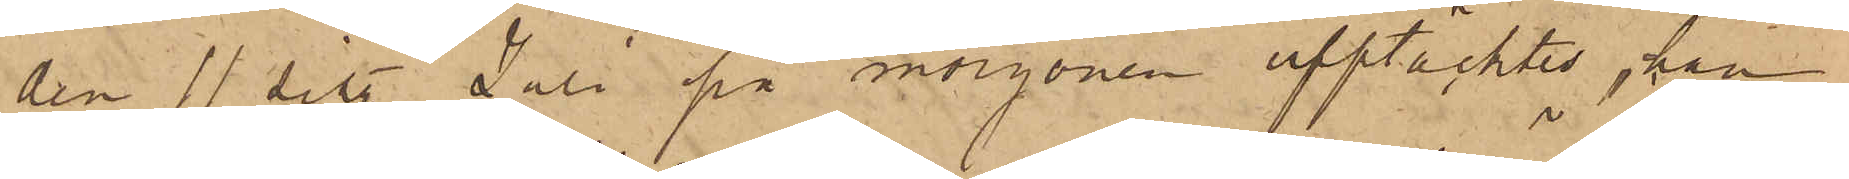den 11 sist. Juli på morgonen upptäcktes, han
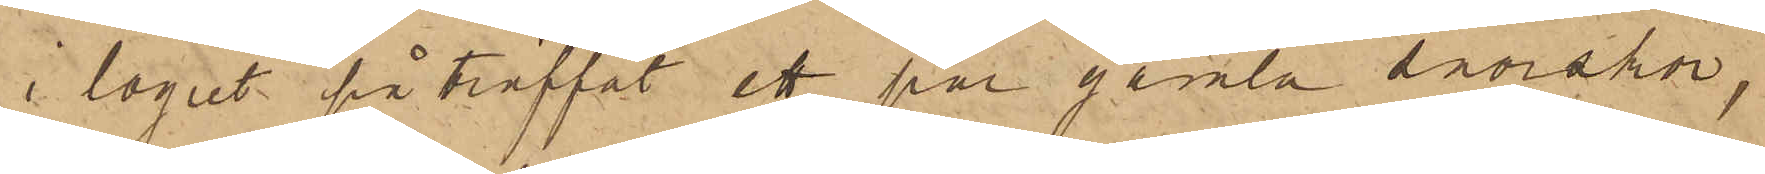i logiet påträffat ett par gamla snörskor,
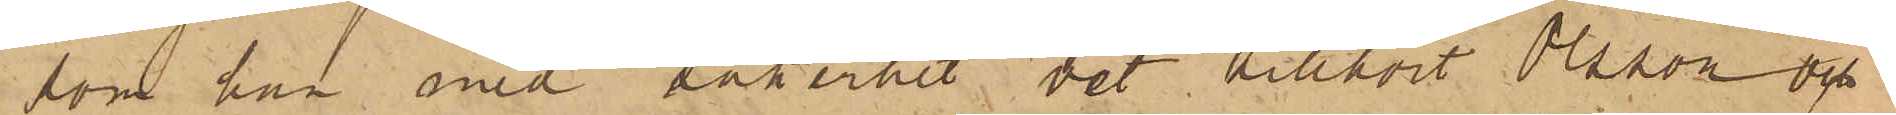som han med säkerhet vet tillhört Olsson och
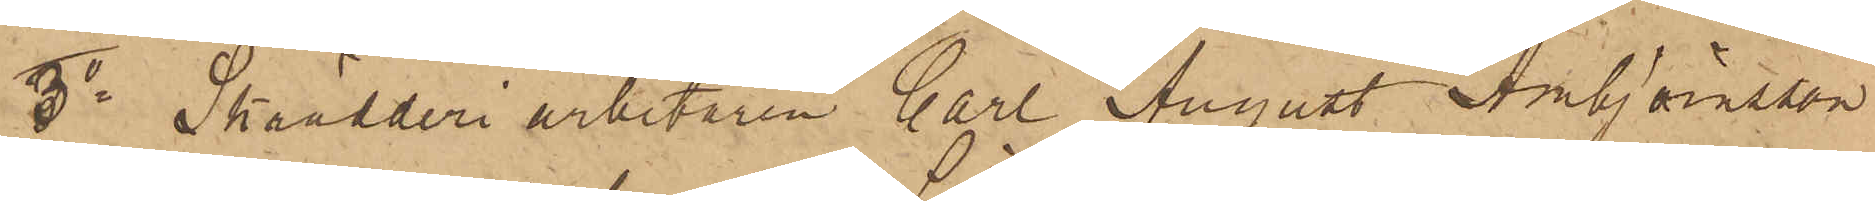3o Skrädderiarbetaren Carl August Ambjörnsson
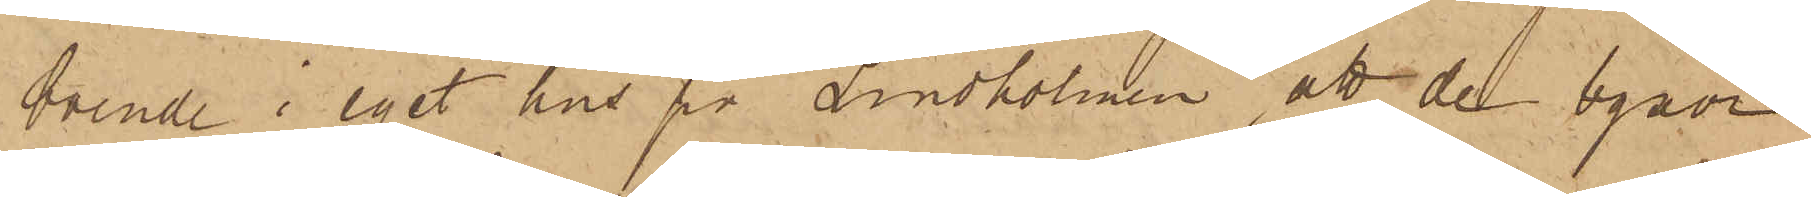boende i eget hus på Lindholmen, att de byxor
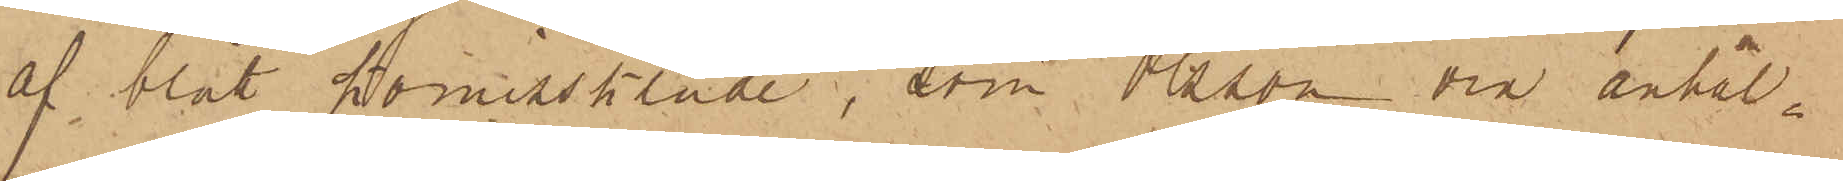af blått Komisskläde, som Olsson då anhål¬
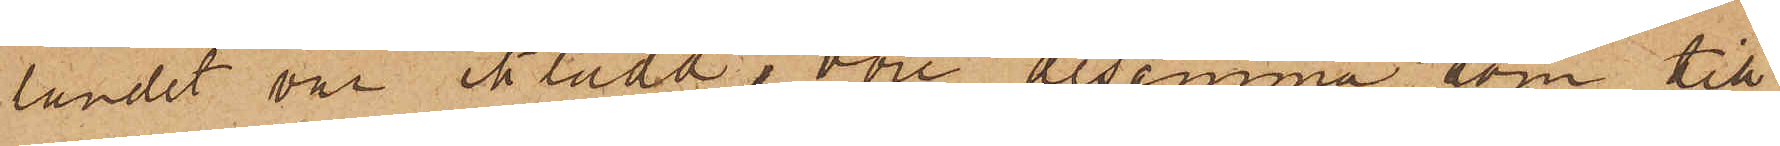landet var iklädd, vore desamma, som till¬
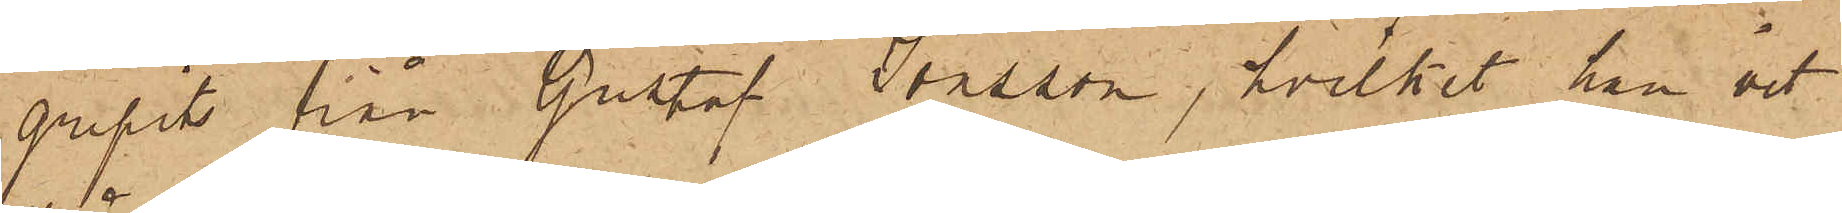gripits från Gustaf Jonsson, hvilket han vet
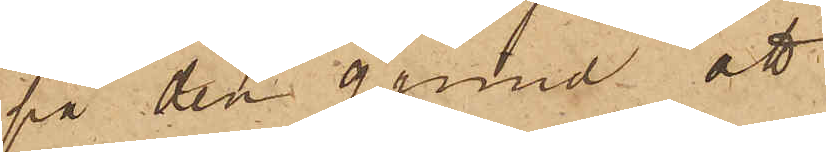på den grund att
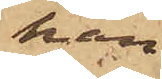han
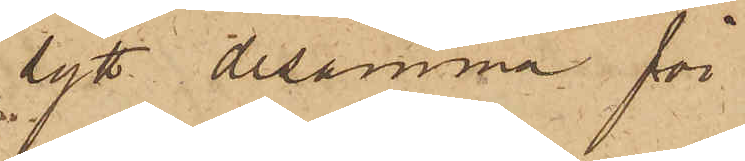sytt desamma för
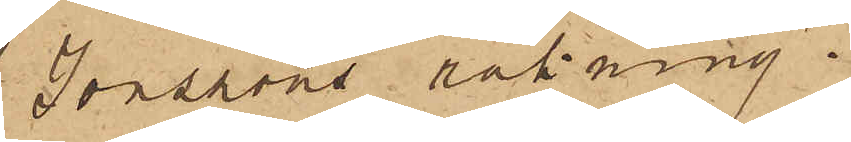Jonssons räkning.
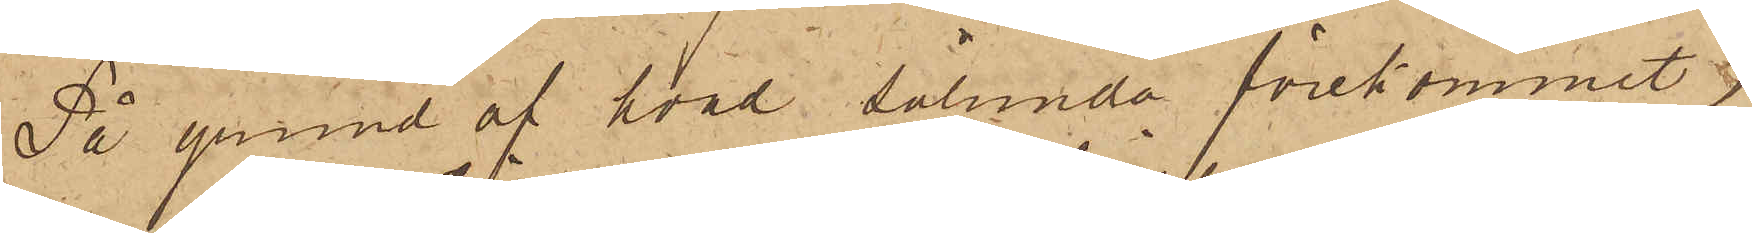På grund af hvad sålunda förekommit,
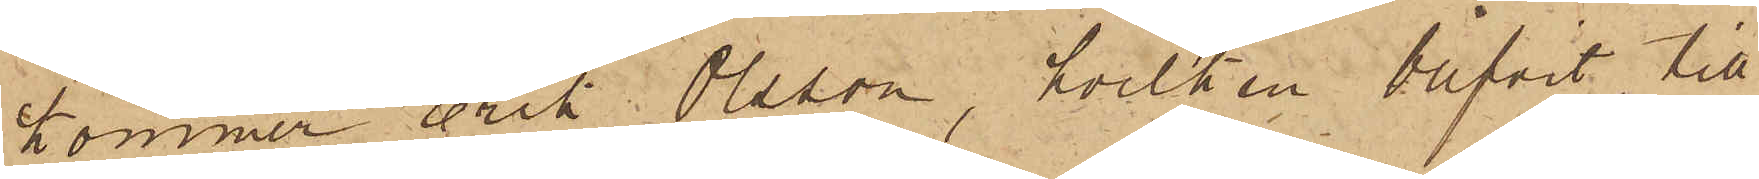kommer Erik Olsson, hvilken blifvit till
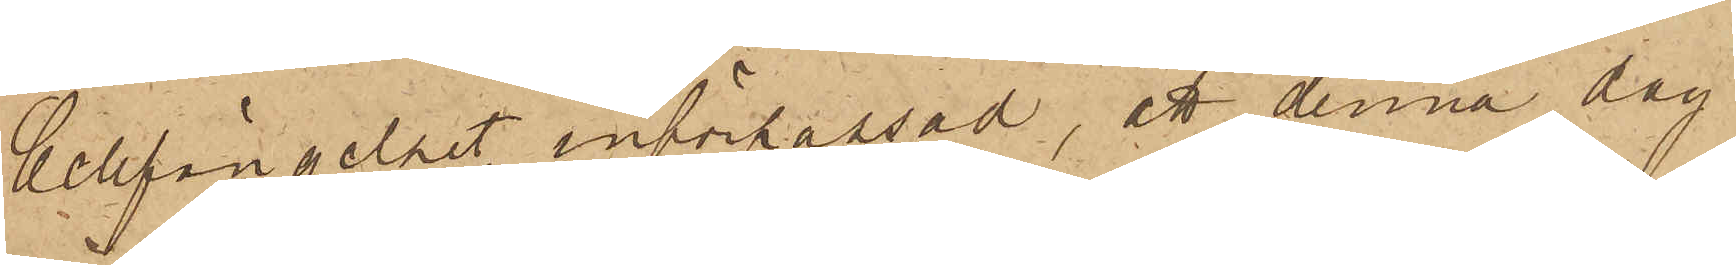Cellfängelset införpassad, att denna dag
